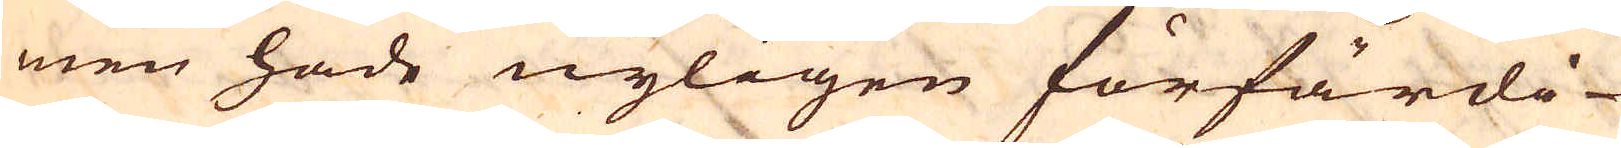men hade nyligen förfärdi-
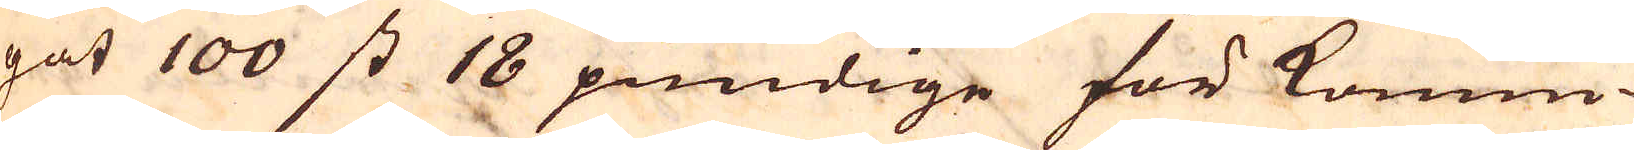gat 100 st 18 pundige för konun-
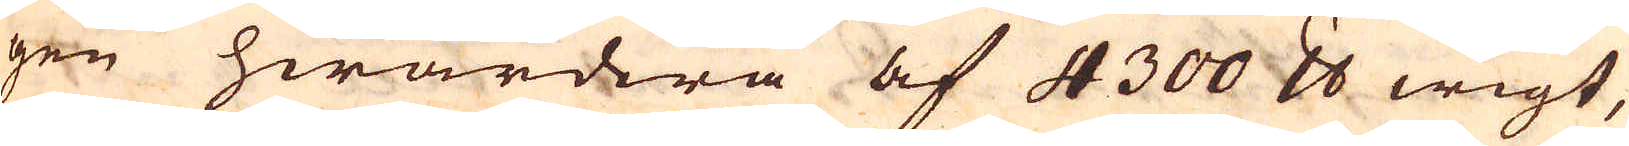gen hwardera af 4300 skålpund wigt,
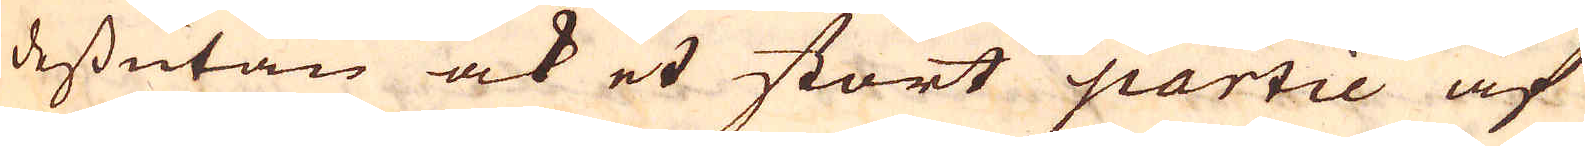dessutan ock et stort partie af
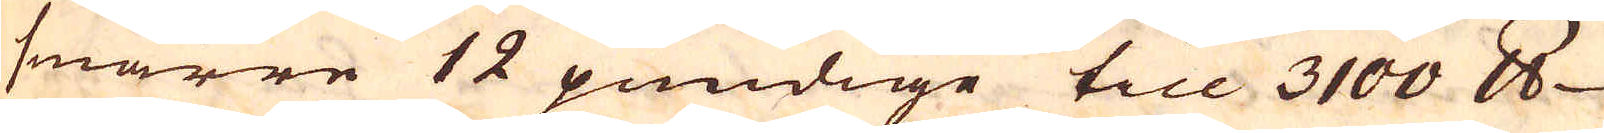smärre 12 pundige till 3100 skålpund
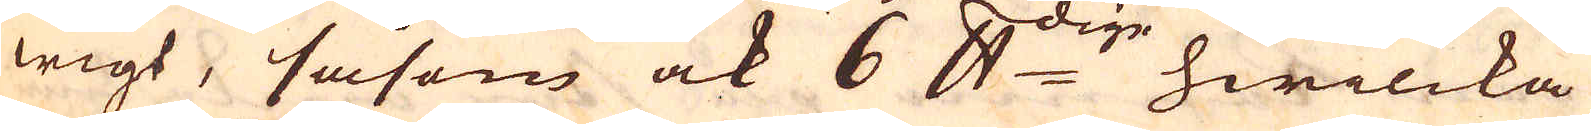wigt, såsom ock 6 skålpunddige, hwilcka
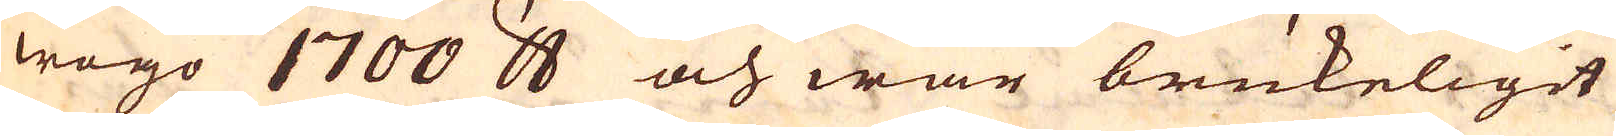wogo 1700 skålpund och war brukeligit
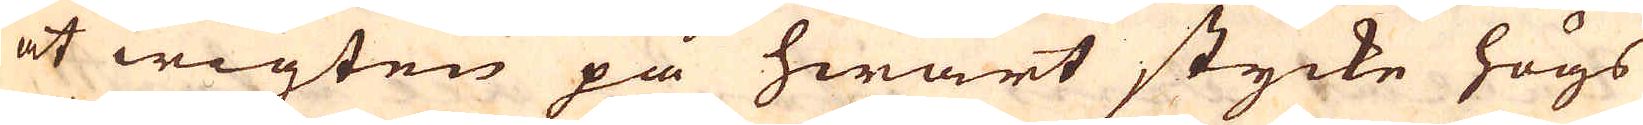at wigten på hwart stycke högs
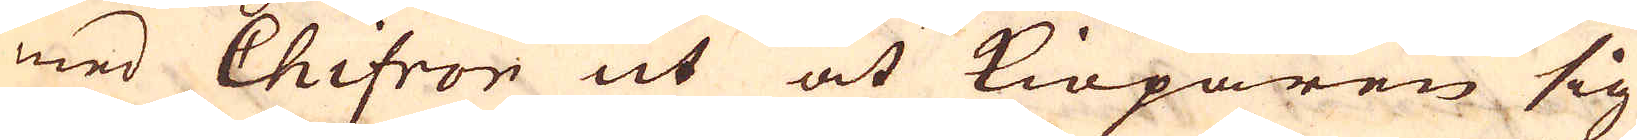med Chifror ut at Kiöparen sig
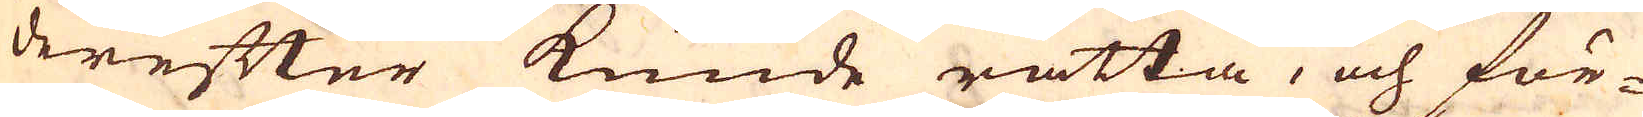derefter kunde rätta, och för-
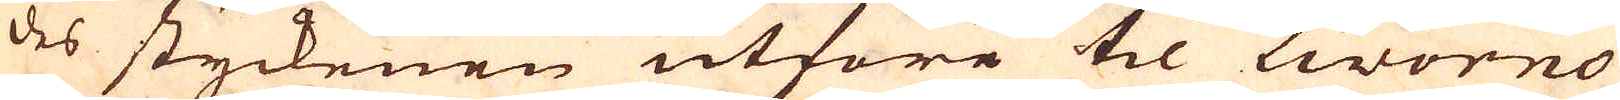des styckenen utföre til Livorno
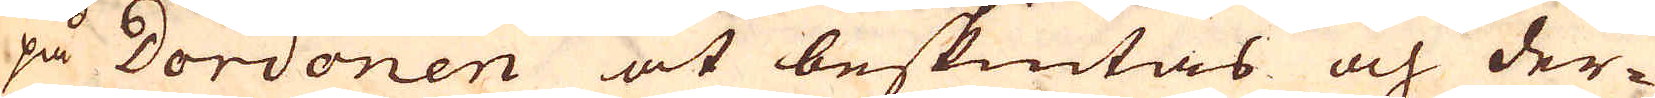på Dordonen at beskiutas och der-
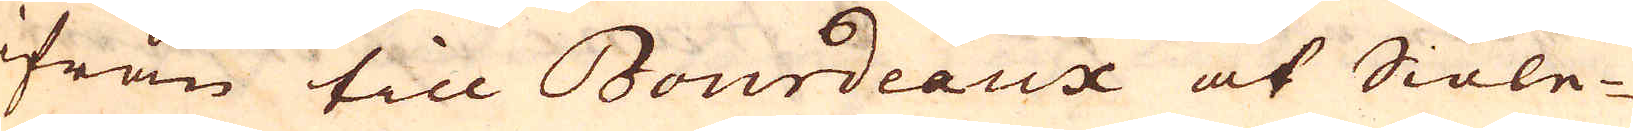ifrån till Bourdeaux at Siöle-
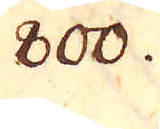800.
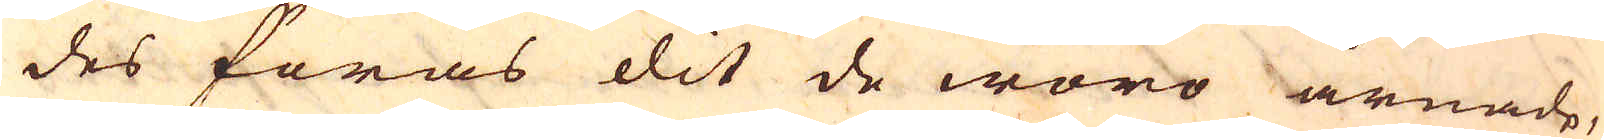des föras dit de woro ärnade,
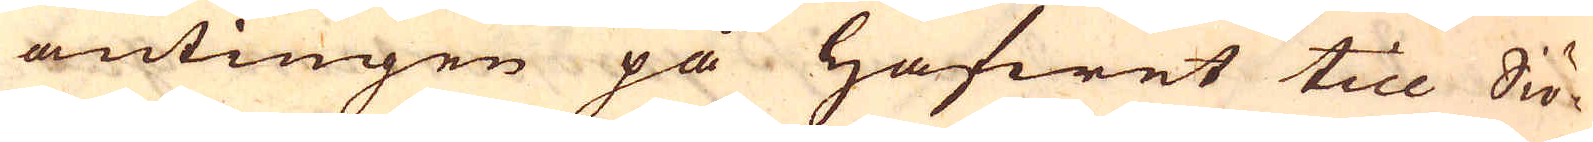antingen på hafwet till Siö-
